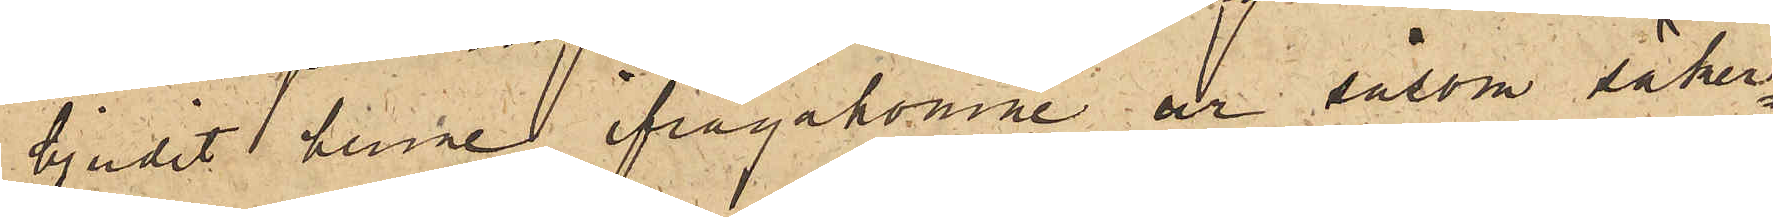bjudit henne ifrågakomne ur såsom säker¬
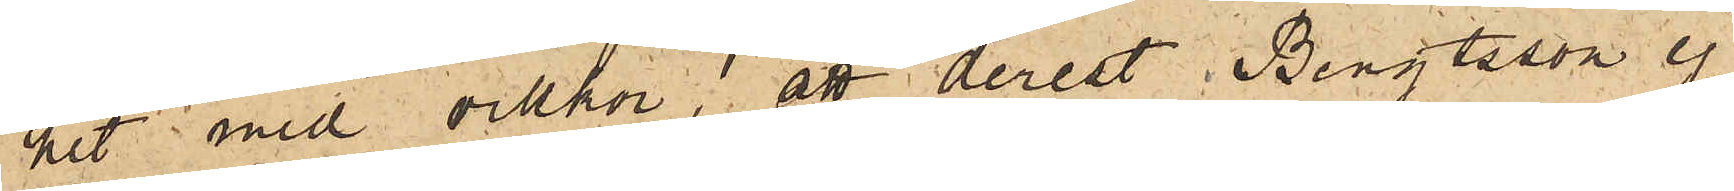het med villkor, att derest Bengtsson ej
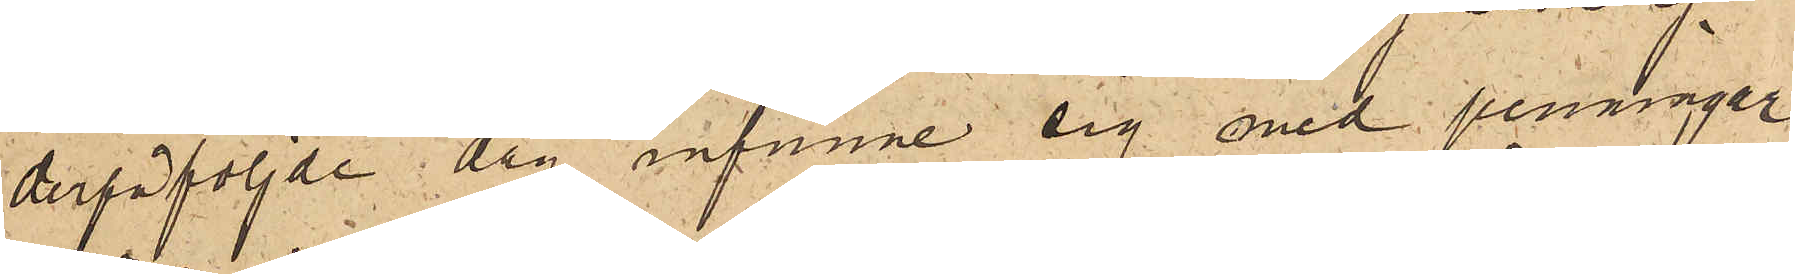derpåföljde dag infunne sig med penningar
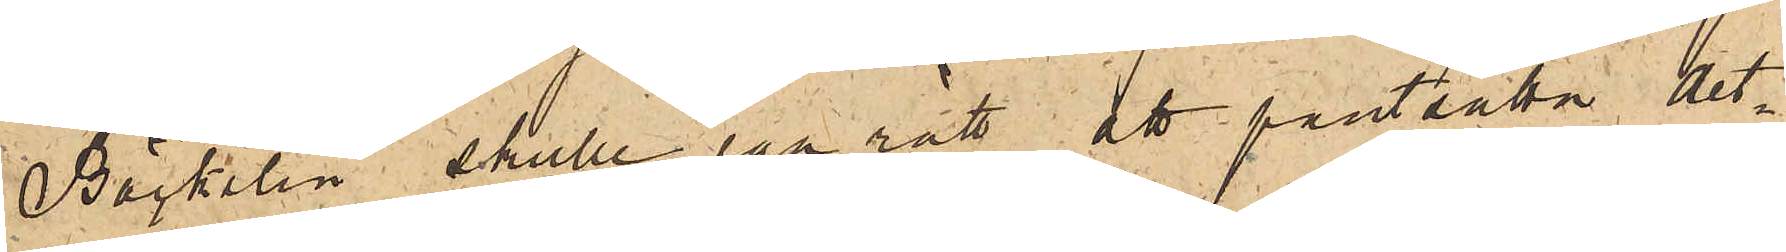Bäckelin skulle ega rätt att pantsätta det¬
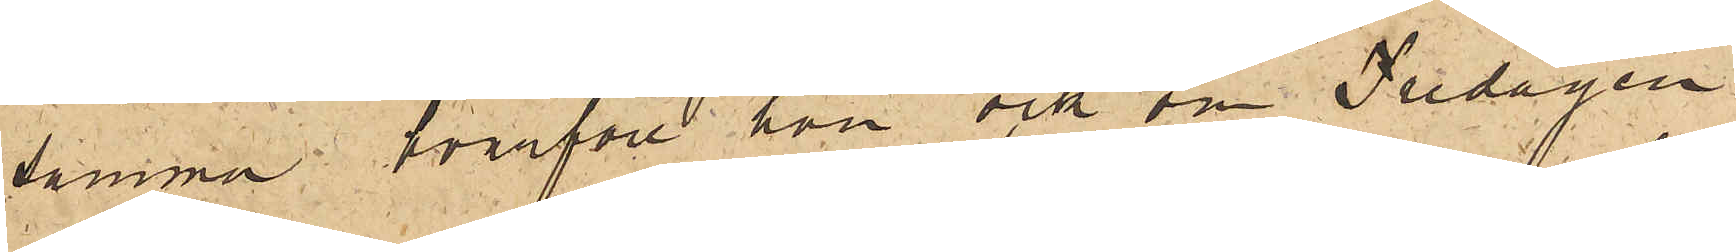samma hvarföre hon ock om Fredagen
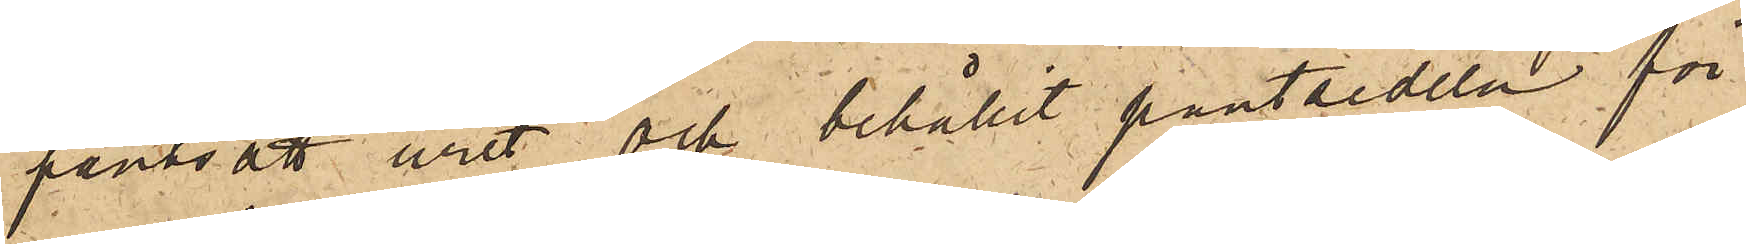pantsatt uret och behållit pantsedeln för
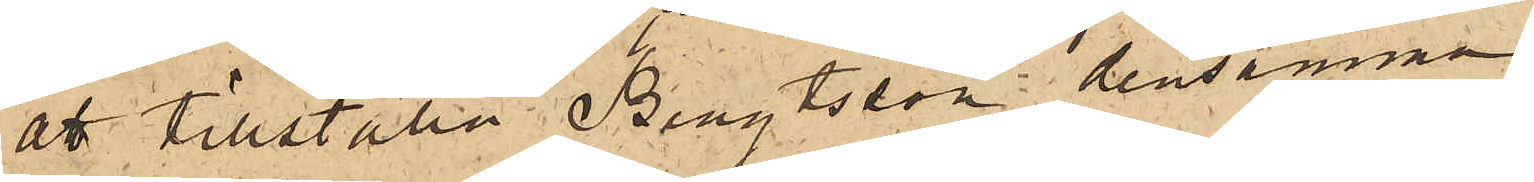att tillställa Bengtsson densamma.
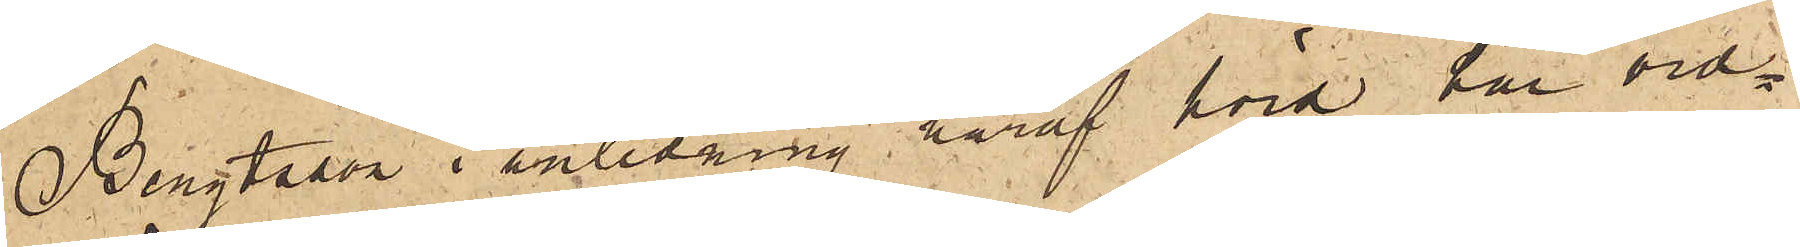Bengtsson i anledning häraf hörd har vid¬
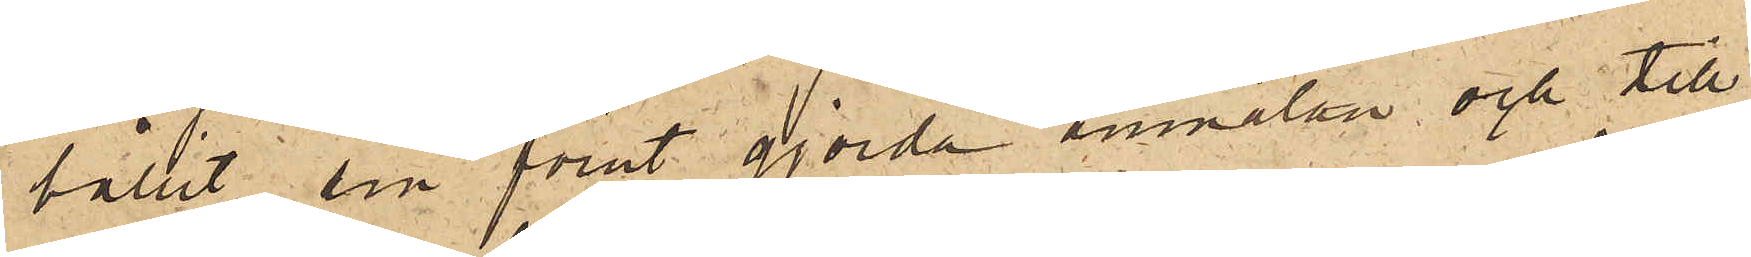hållit sin förut gjorda anmälan och till
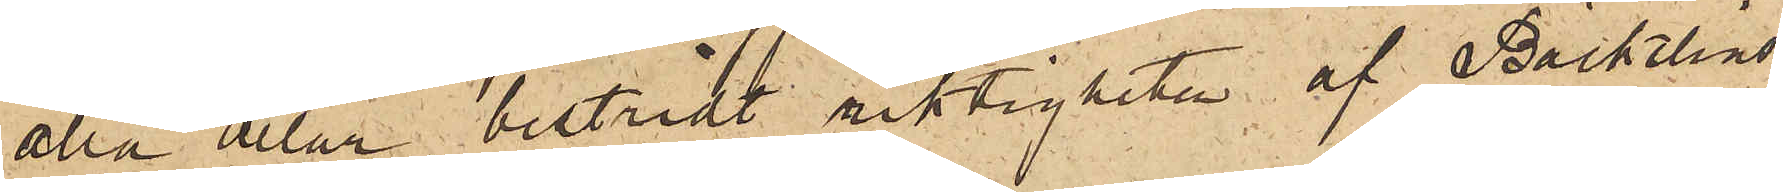alla delar bestridt riktigheten af Bäckelins
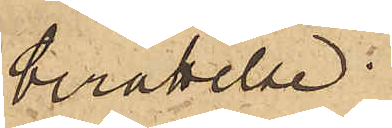berättelse.
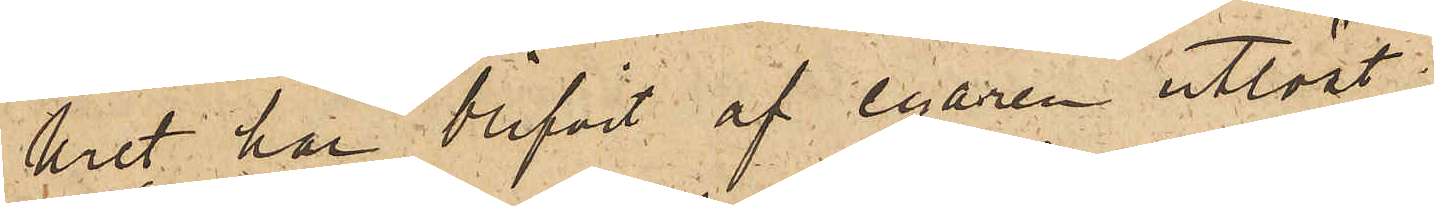Uret har blifvit af egaren utlöst.
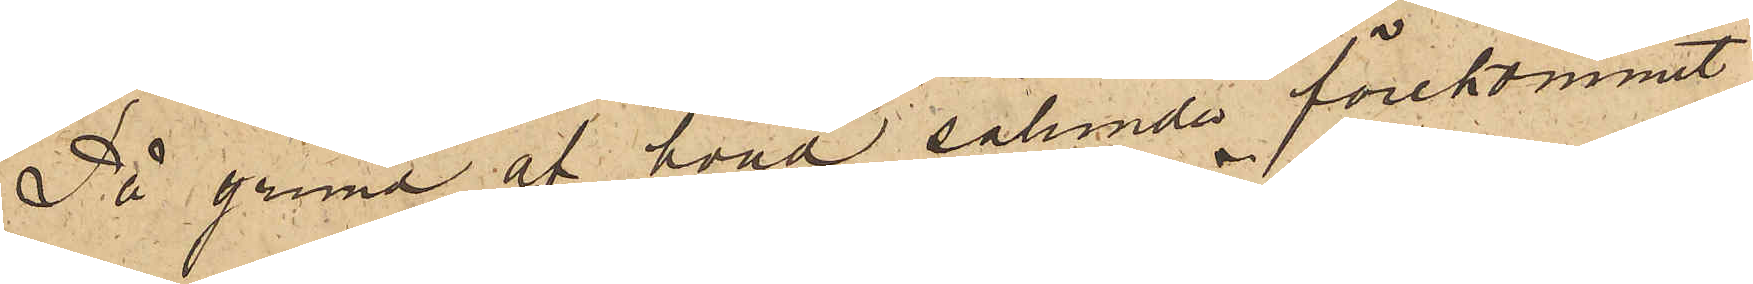På grund af hvad sålunda förekommit,
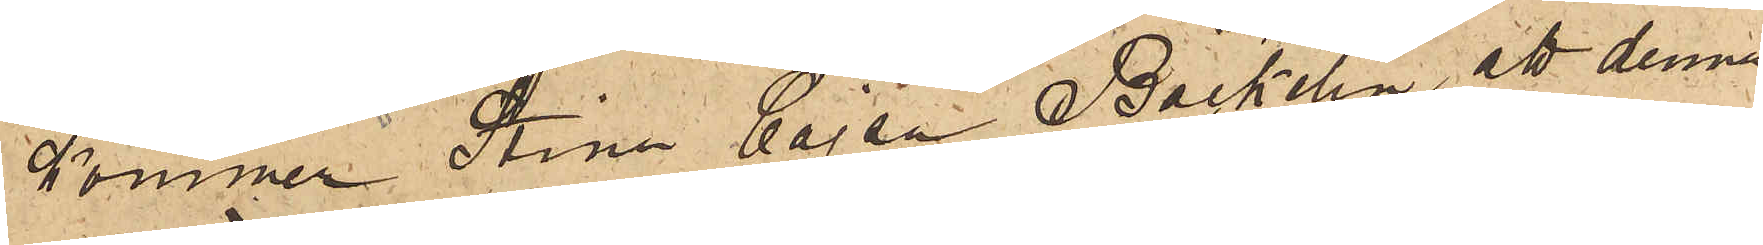kommer Stina Cajsa Bäckelin, att denna
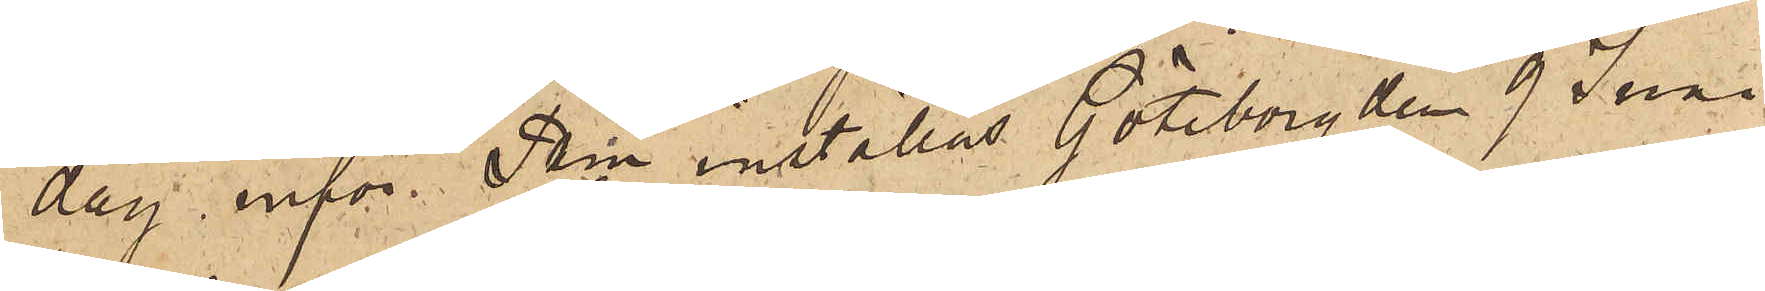dag inför Pkn inställas. Göteborg den 9 Juni
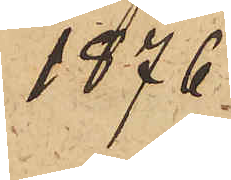1876.
